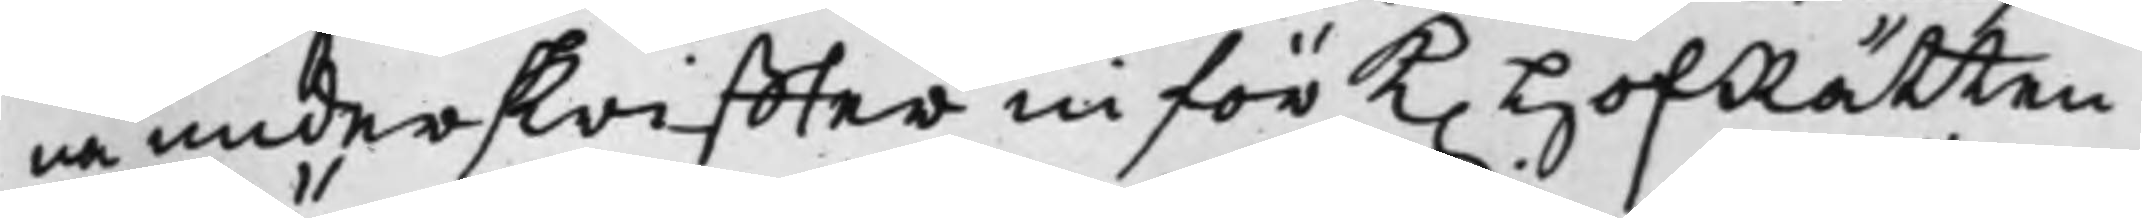na underskriffter inför K. HofRätten
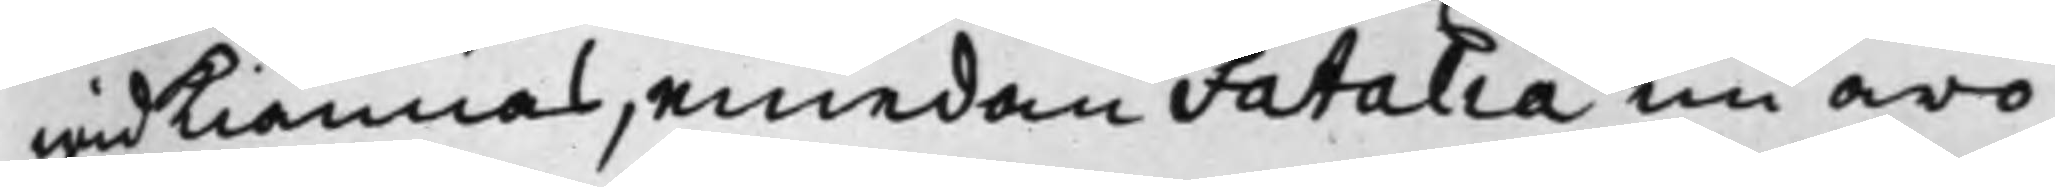widKiännas, emedan Fatalia nu äro
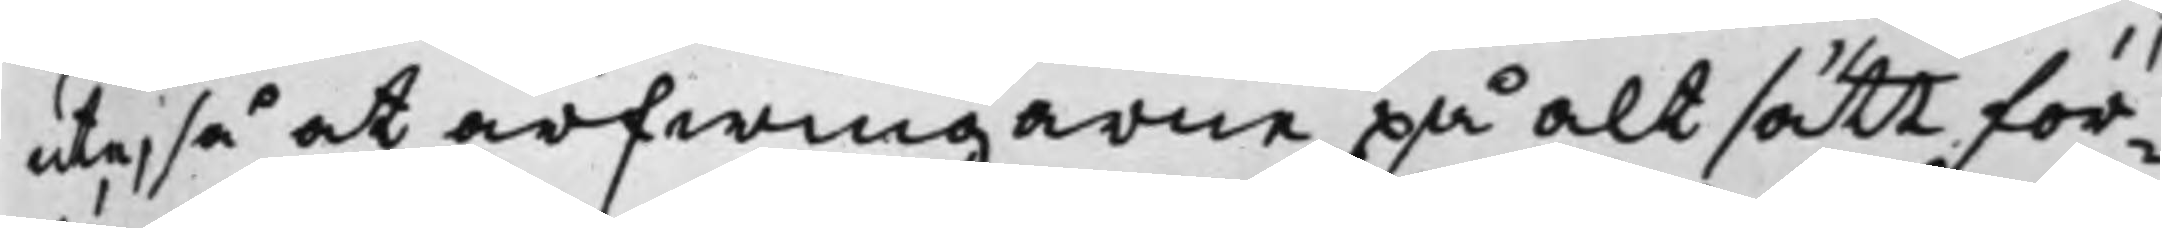ute, så at arfwingarne på alt sätt för¬
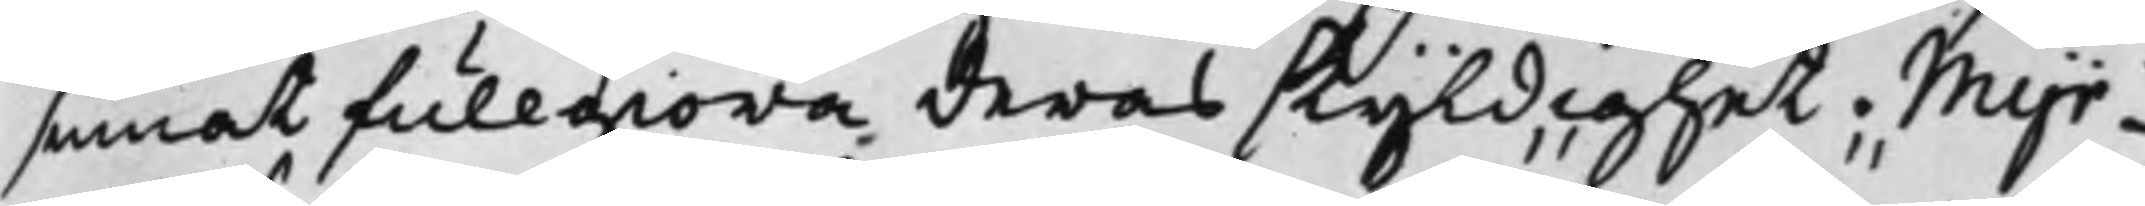sumat fullgiöra deras skyldighet. Myr¬
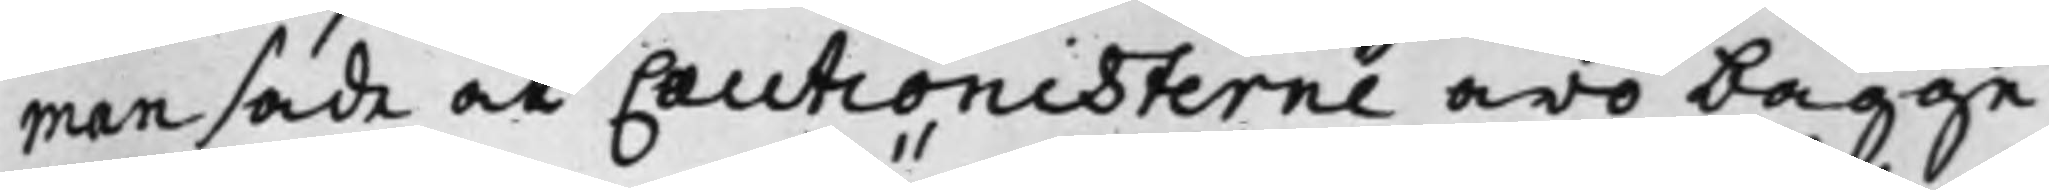man sade at Cautionisterne äro bägge
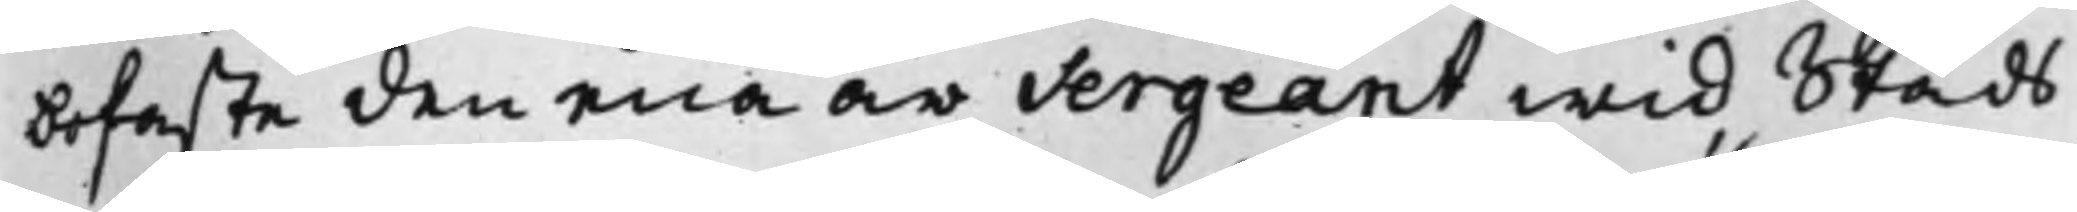bofaste den ena är Sergeant wid Stads¬
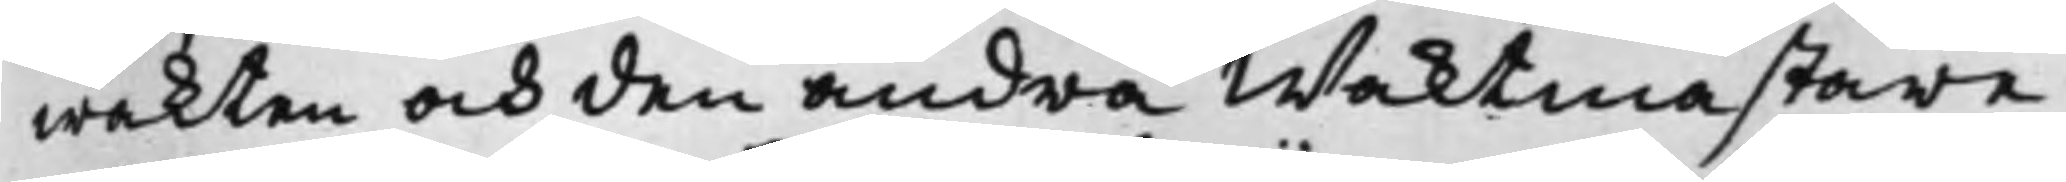wakten och den andra Waktmästare
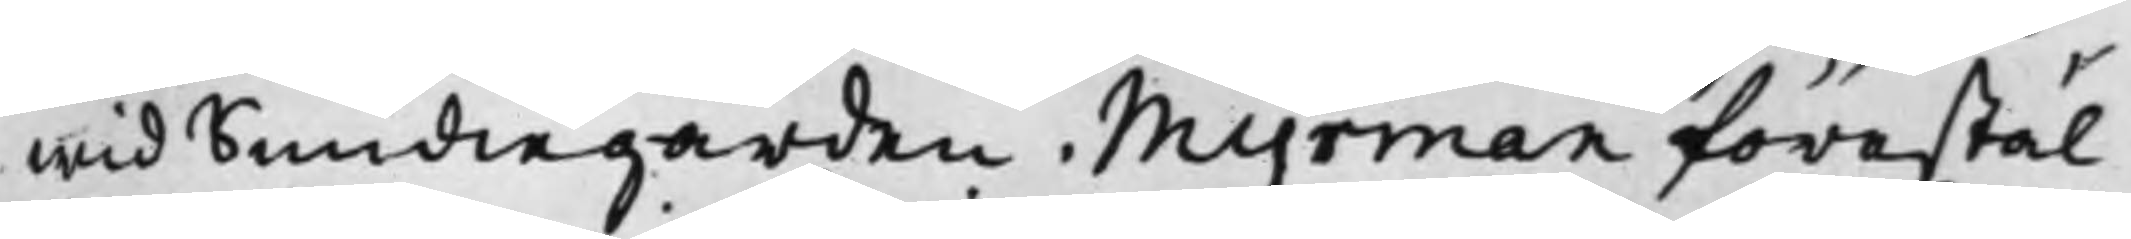wid Smidiegården. Myrman förestäl¬
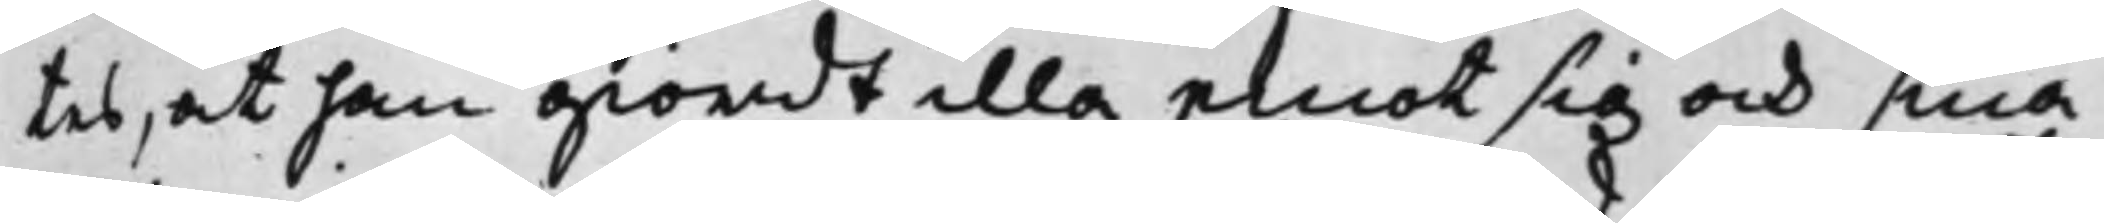tes, at han giordt illa emot sig och sina
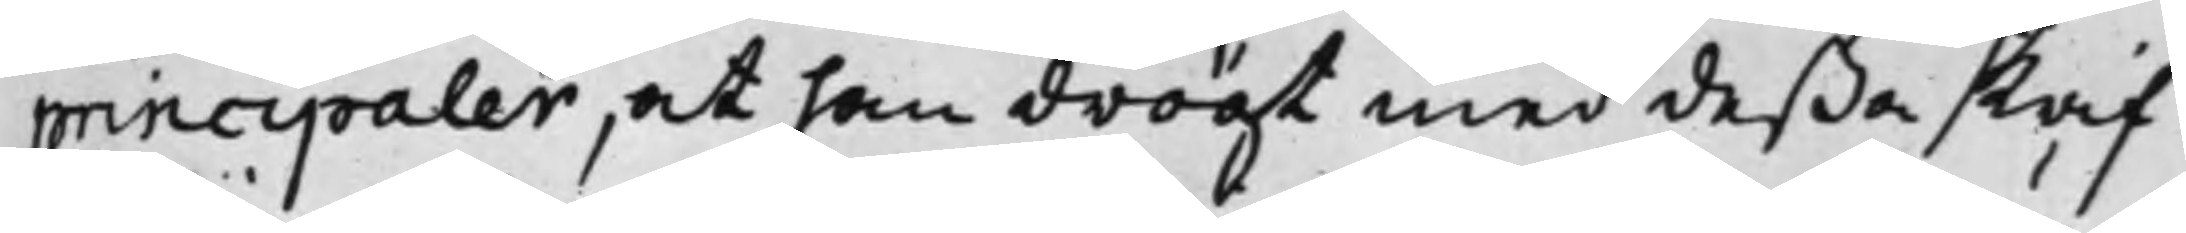principaler, at han drögt med deßa skrif¬
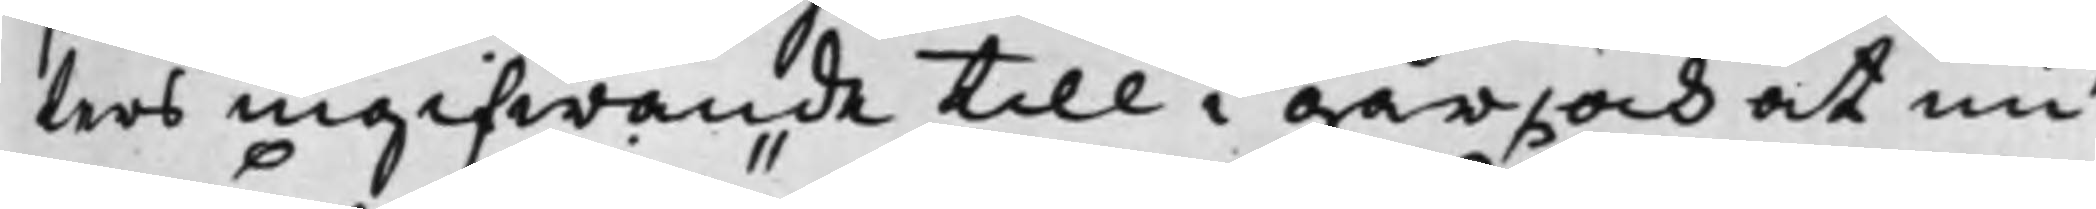ters ingifwande till i går, och at nu
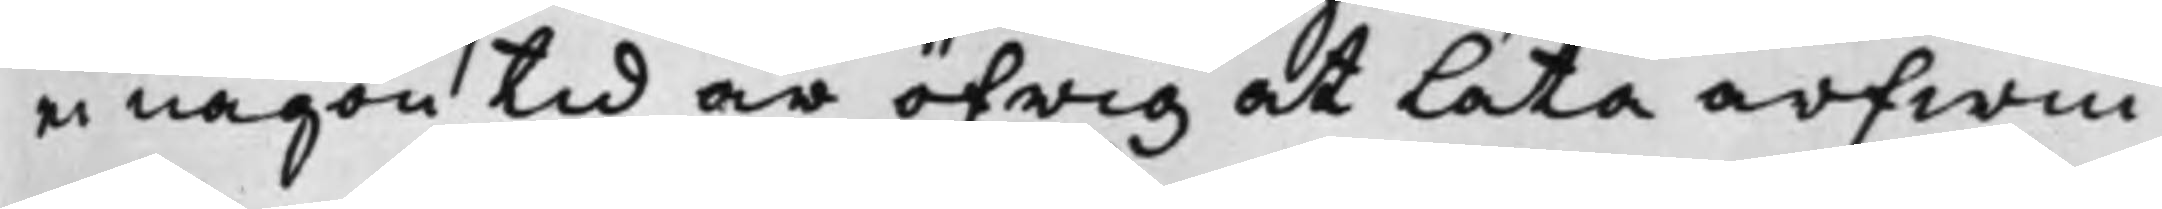ei någon tid är öfrig at Låta arfwin¬
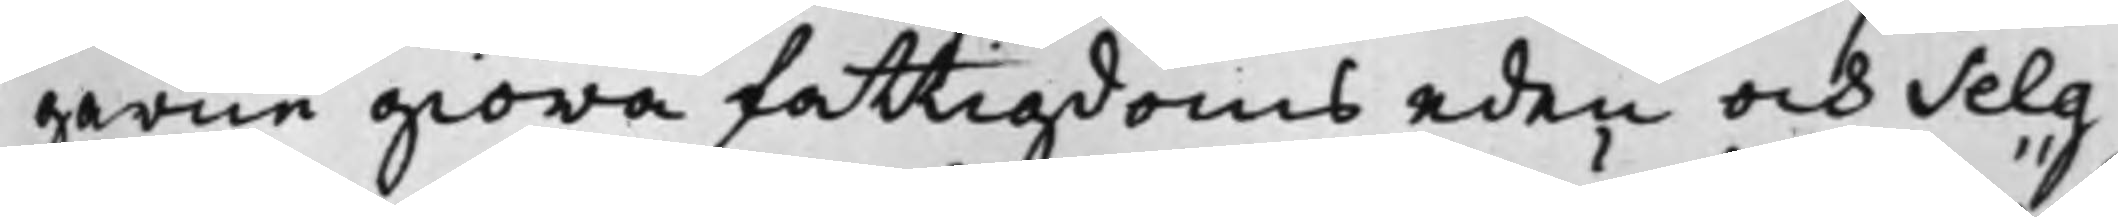garne giöra fattigdoms eden och Selg¬
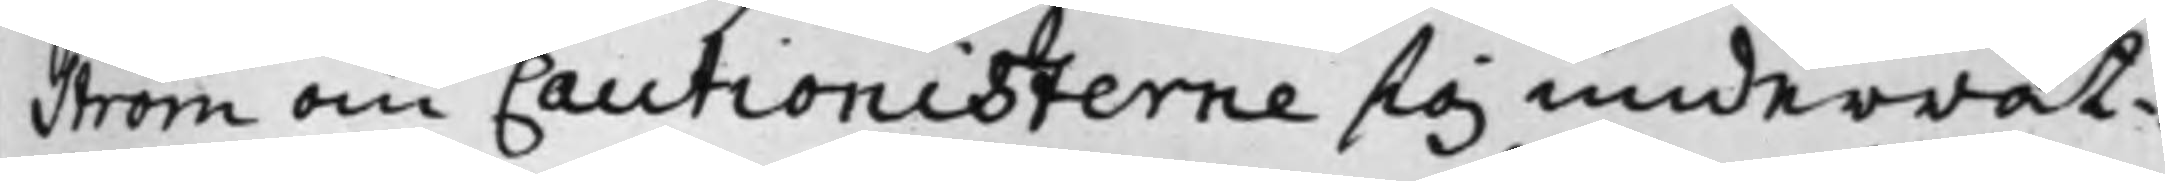ström om Cautionisterne sig underrät¬
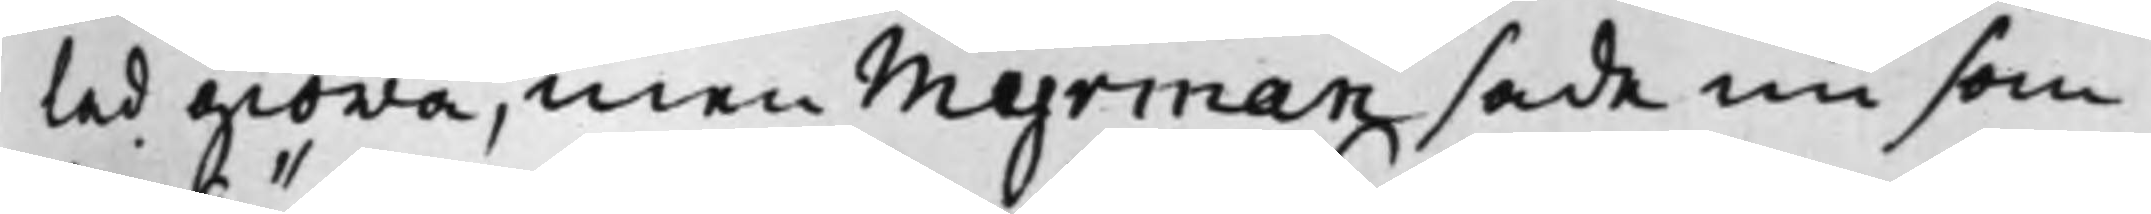tad giöra, men Myrman sade nu som
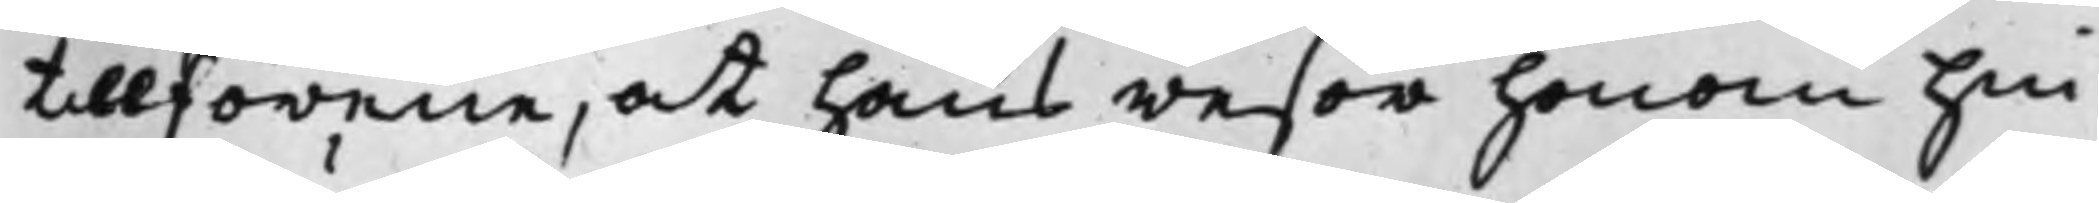tillförene, at hans resor honom hin¬
